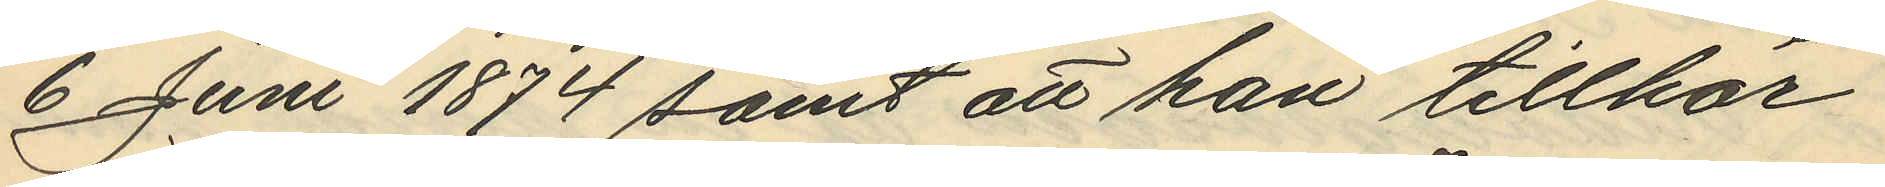6 Juni 1874 samt att han tillhör
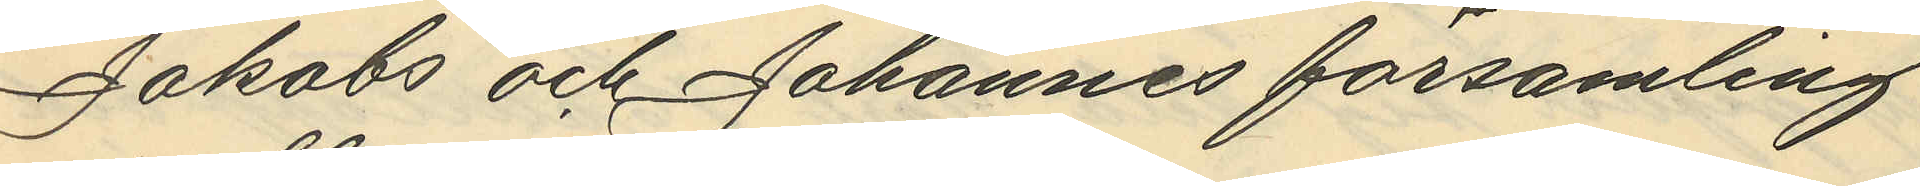Jakobs och Johannes församling
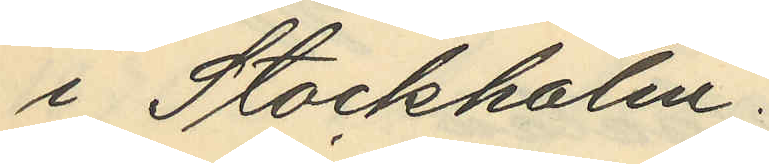i Stockholm.
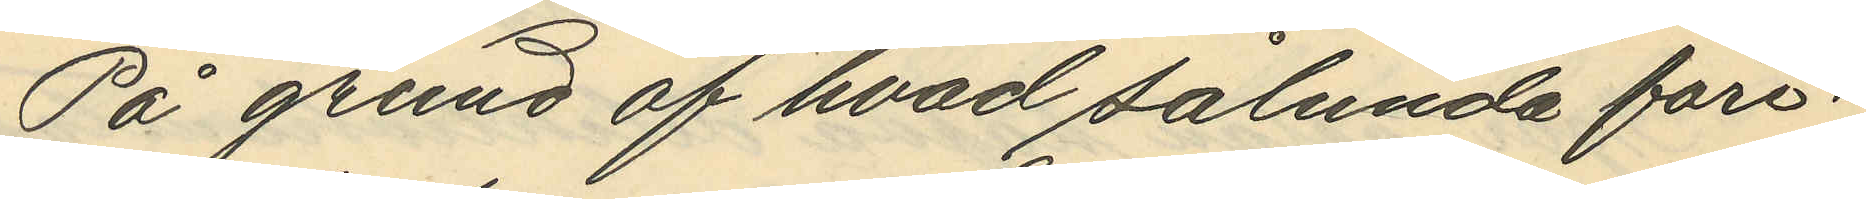På grund af hvad sålunda före¬
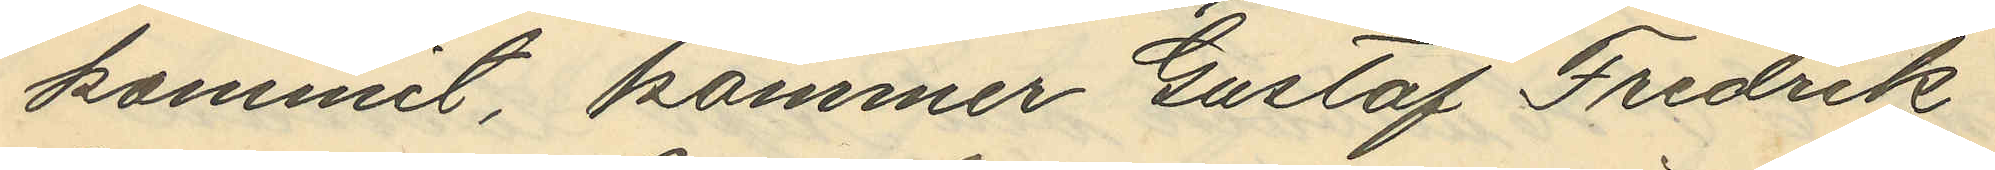kommit, kommer Gustaf Fredrik
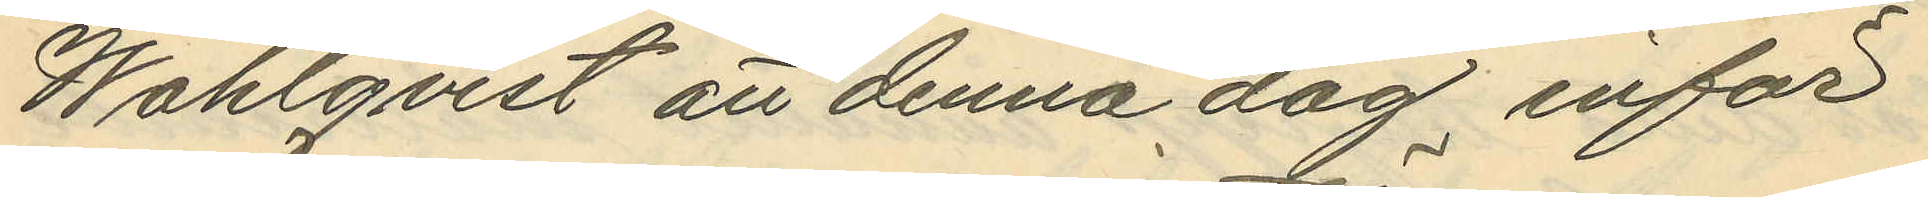Wahlqvist att denna dag inför
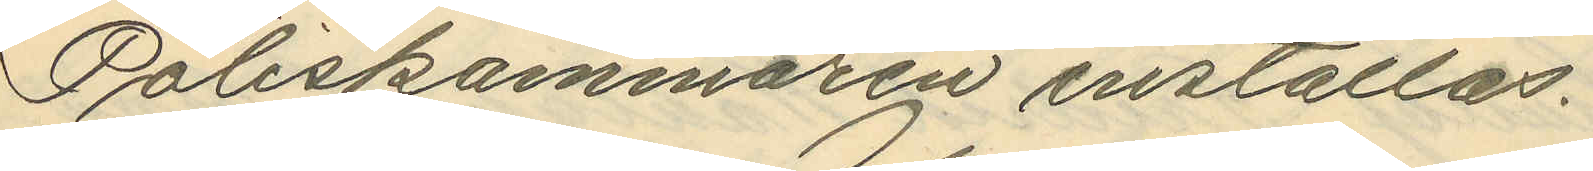Poliskammaren inställas.
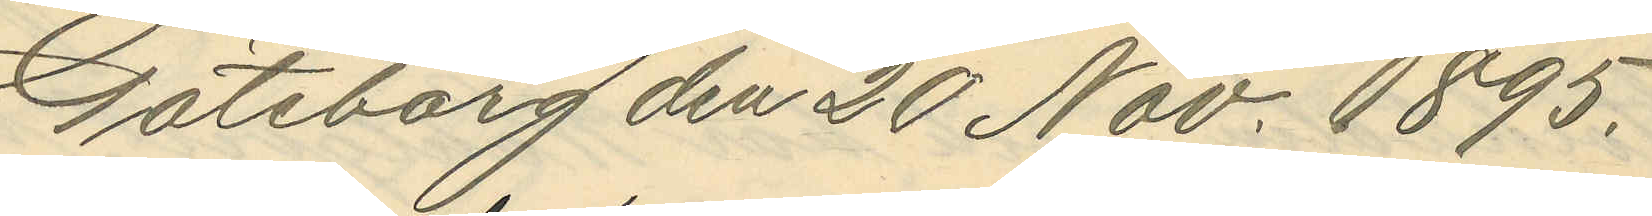Göteborg den 20 Nov. 1895.
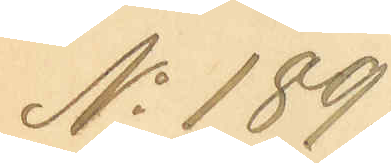No 189
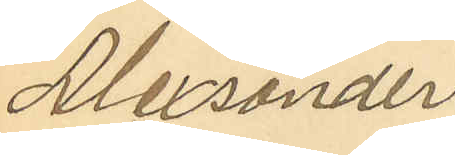Alexander
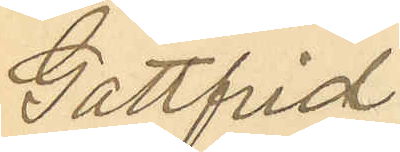Gottfrid
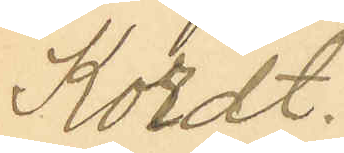Kordt.
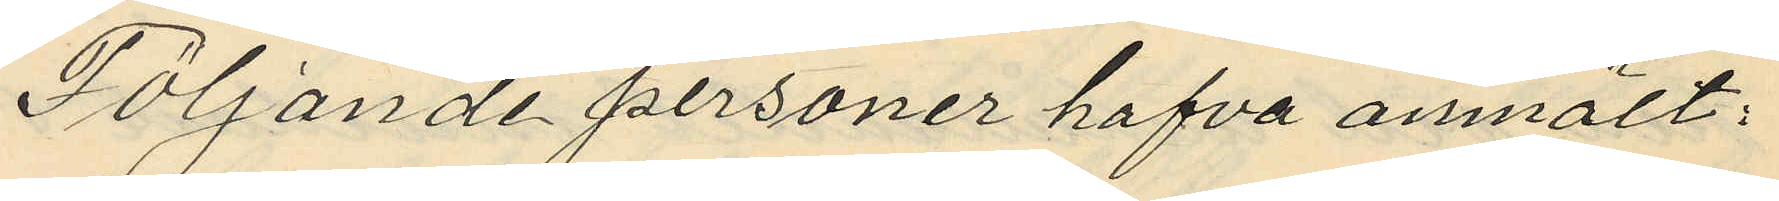Följande personer hafva anmält:
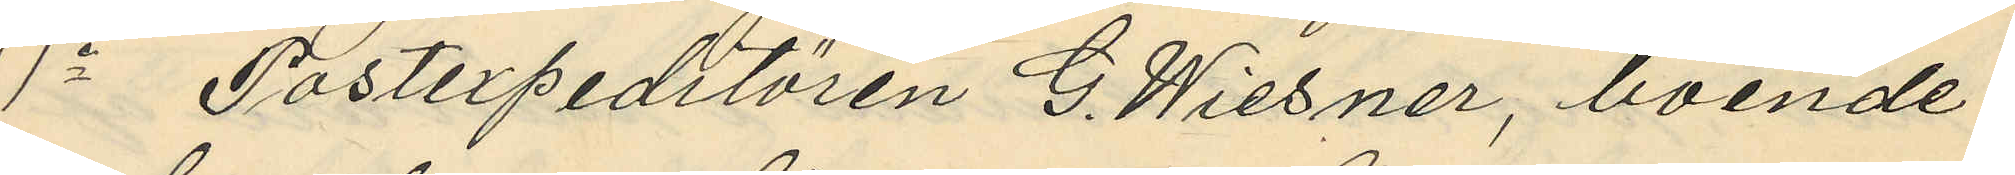1o Postexpeditören G. Wiesner, boende
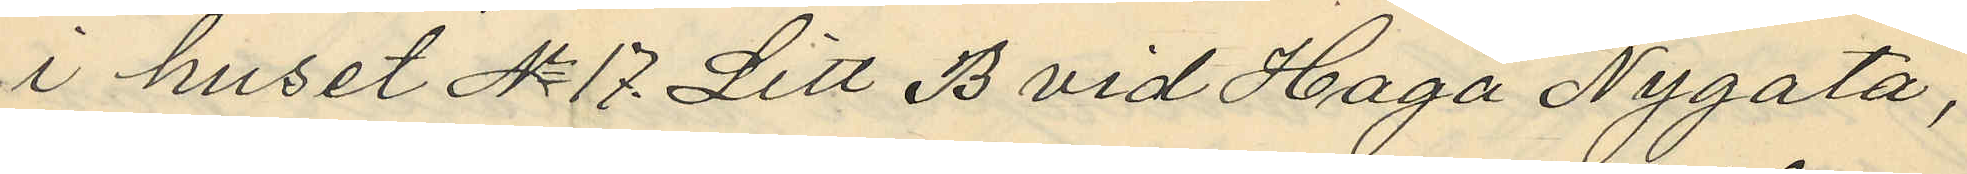i huset No 17 Litt B vid Haga Nygata,
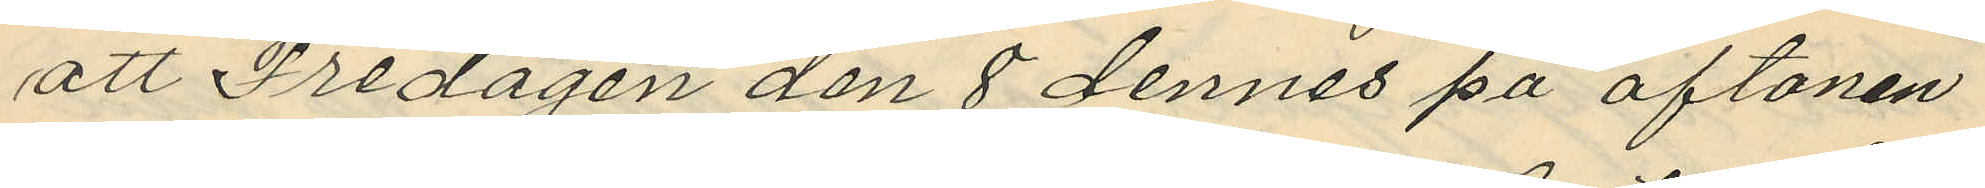att Fredagen den 8 dennes på aftonen
